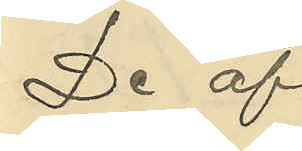De af
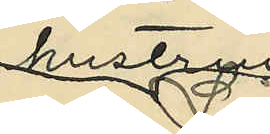hustrun
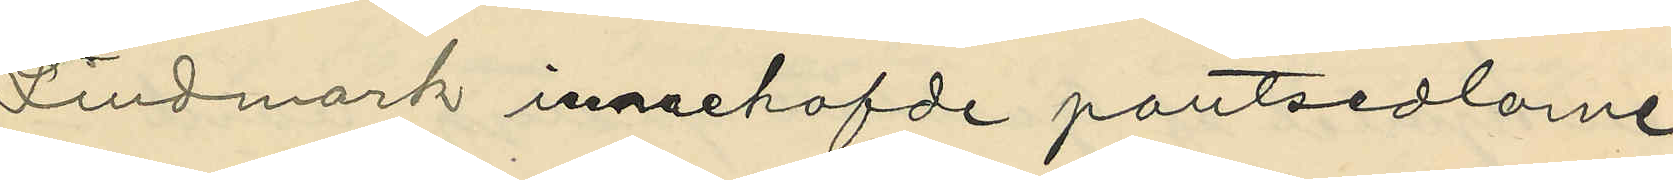Lindmark innehafde pantsedlarne
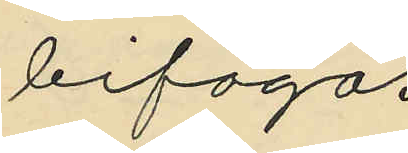bifogas
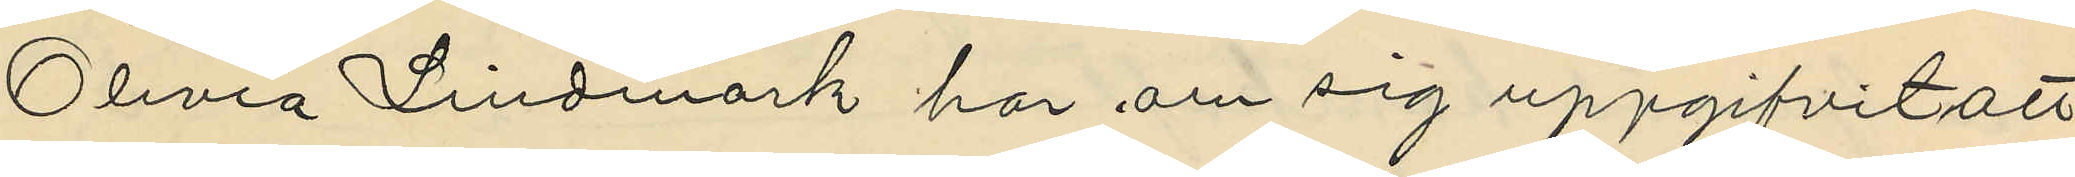Olivia Lindmark har om sig uppgifvit att
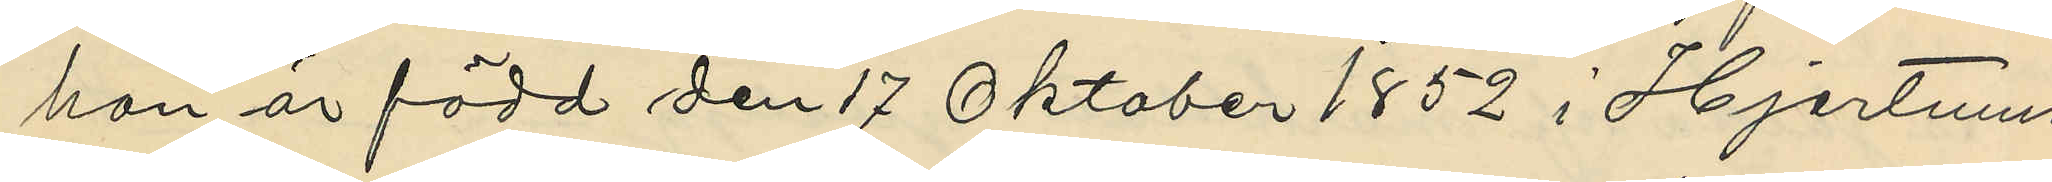hon är född den 17 Oktober 1852 i Hjertums
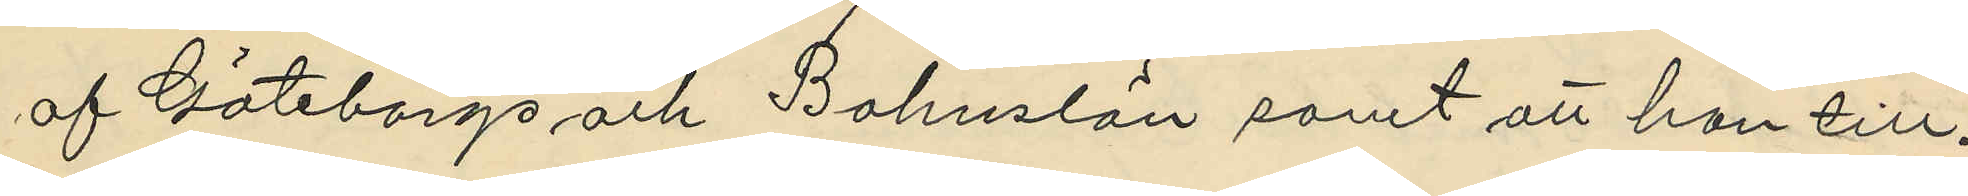af Göteborgs och Bohuslän samt att hon till¬
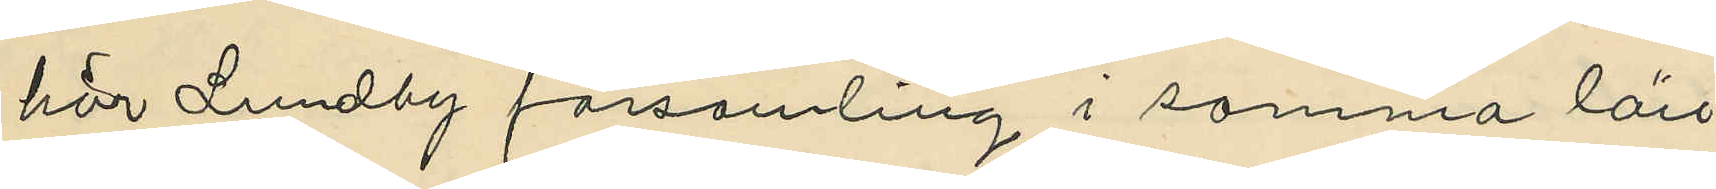hör Lundby församling i samma län
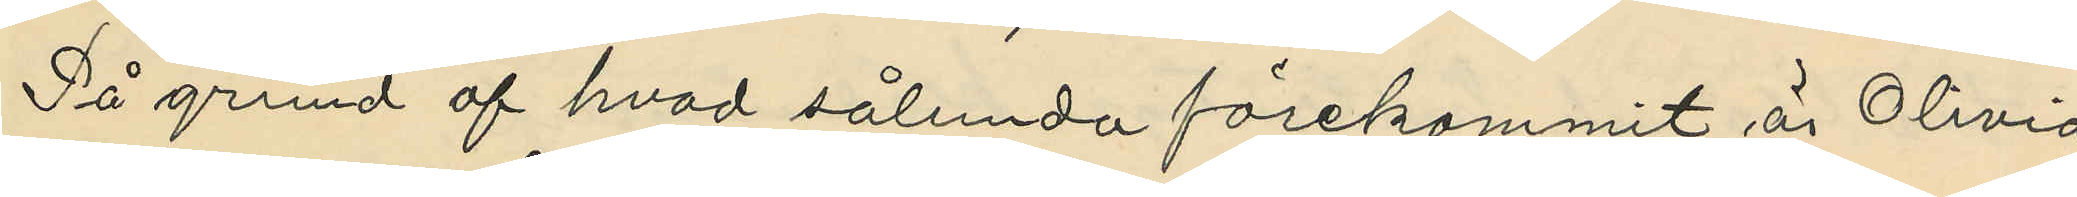På grund af hvad sålunda förekommit är Olivia
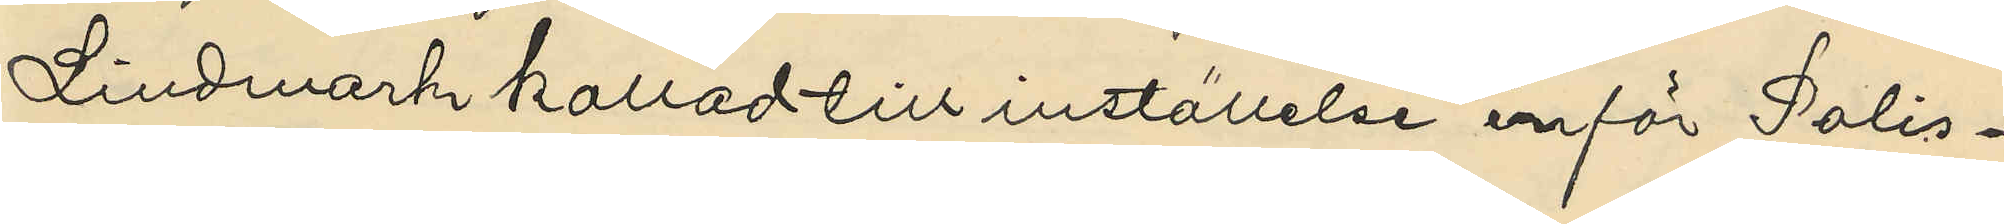Lindmark kallad till inställelse inför Polis¬
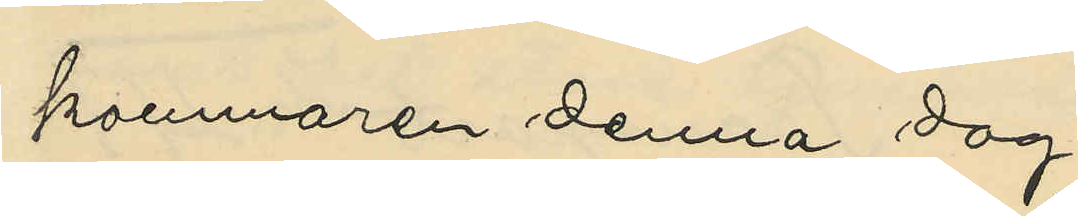kammaren denna dag.
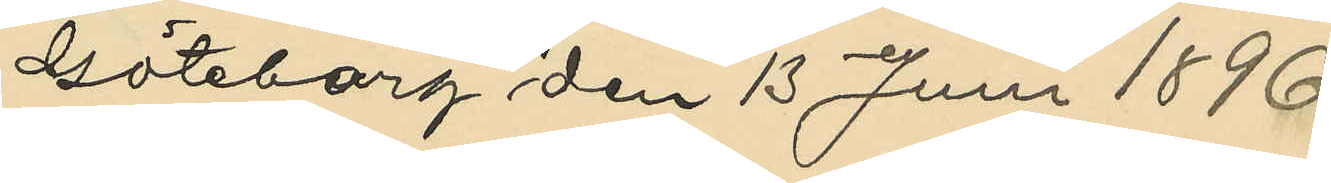Göteborg den 13 Juni 1896.
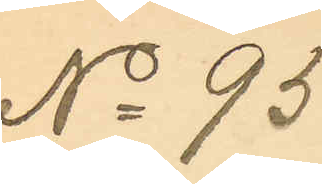No 95.
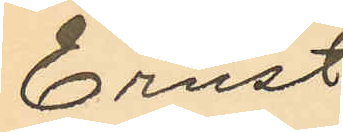Ernst
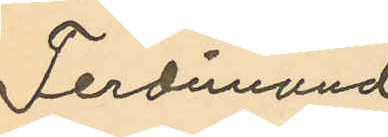Ferdimand
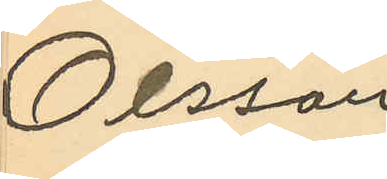Olsson
